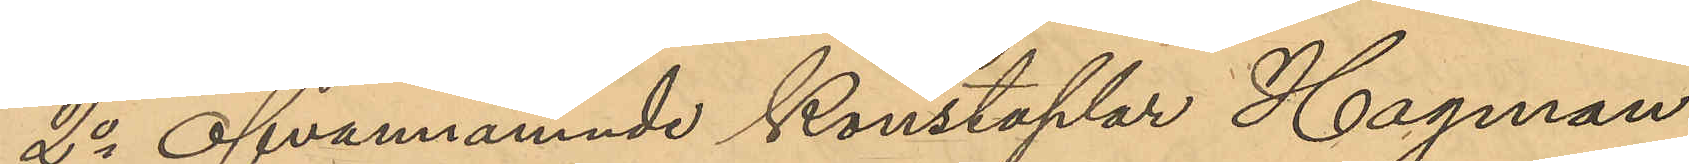2o Ofvannämnde Konstaplar Hagman
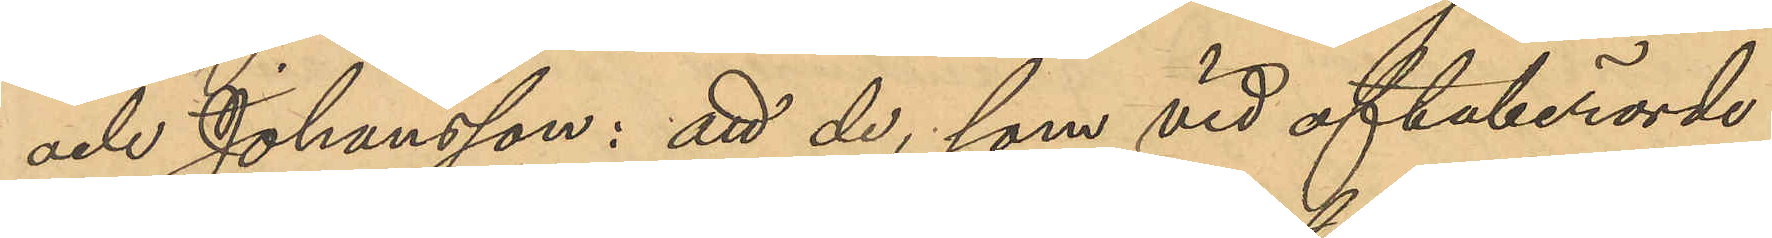och Johansson: att de, som vid oftaberörde
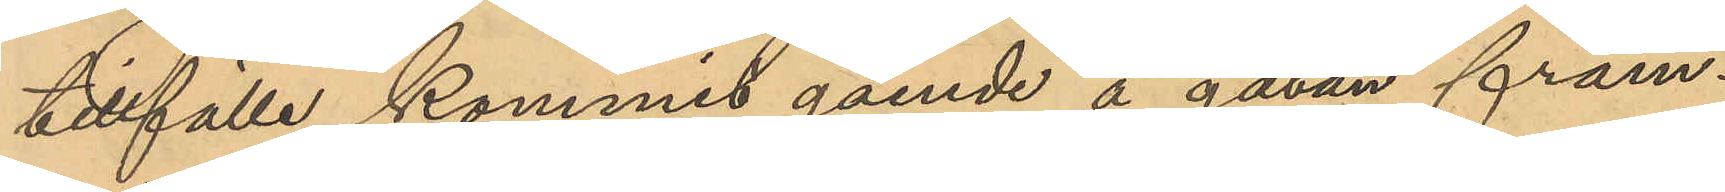tillfälle kommit gående å gatan fram¬
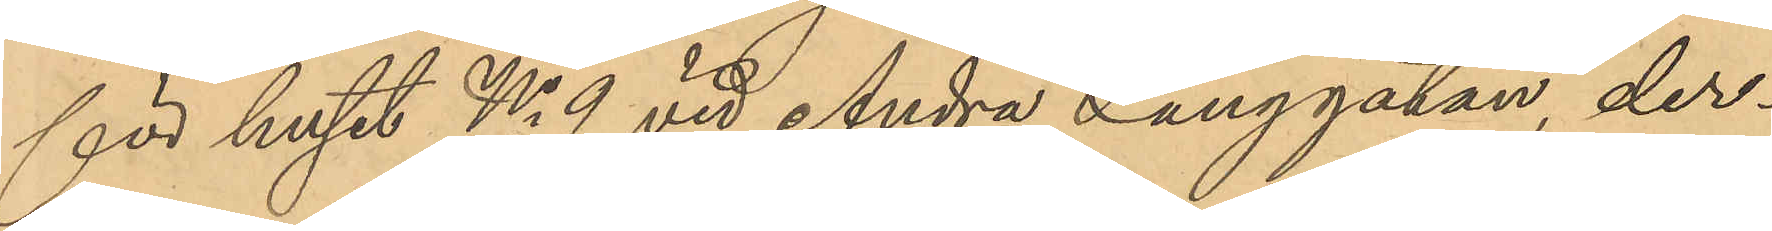för huset No 9 vid Andra Långgatan, der¬
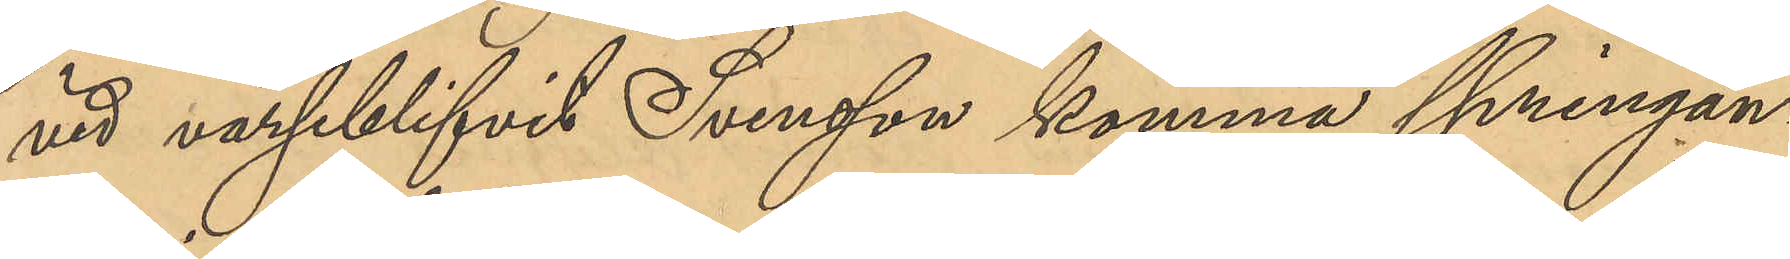vid varseblifvit Svensson komma springan¬
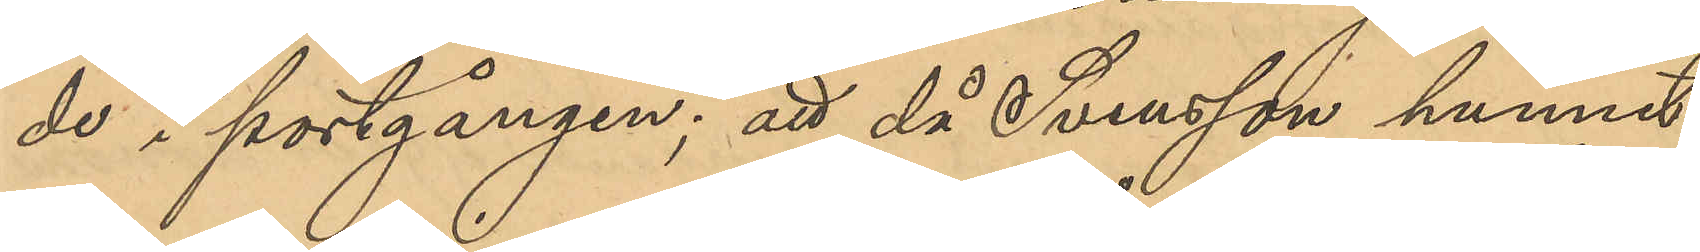de i portgången; att då Svensson hunnit
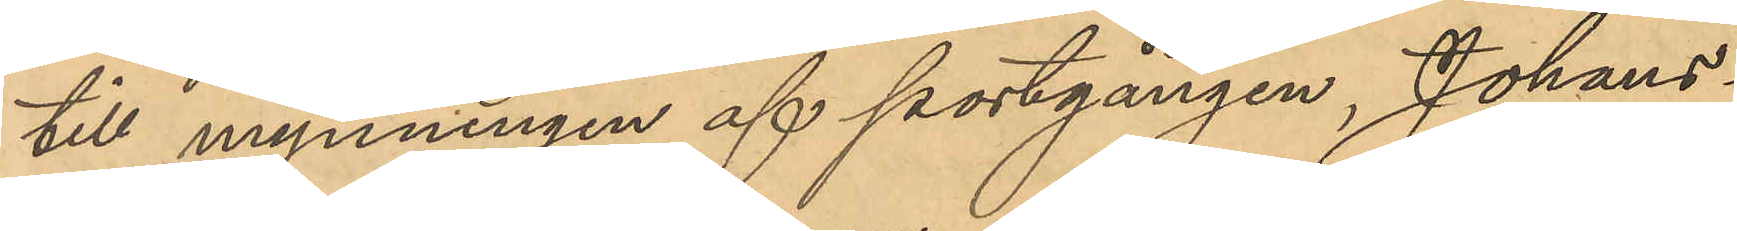till mynningen af portgången, Johans¬
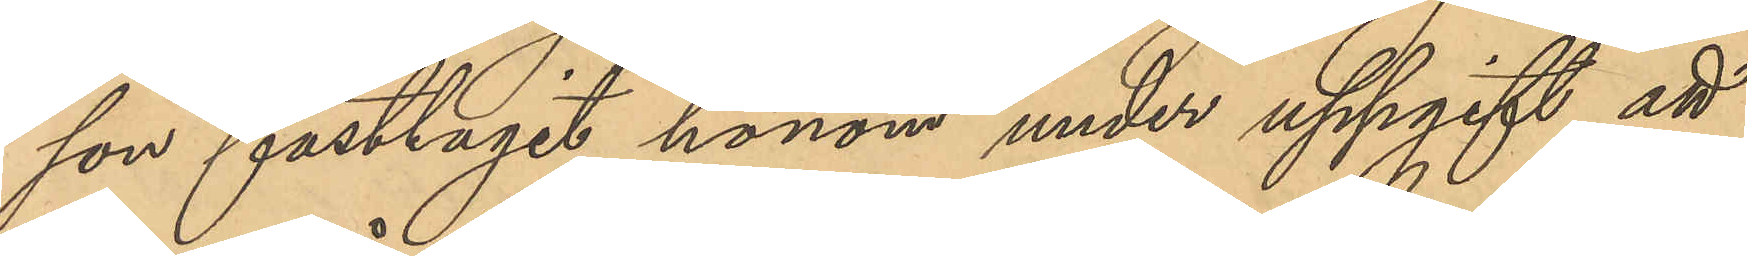son fasttagit honom under uppgift att
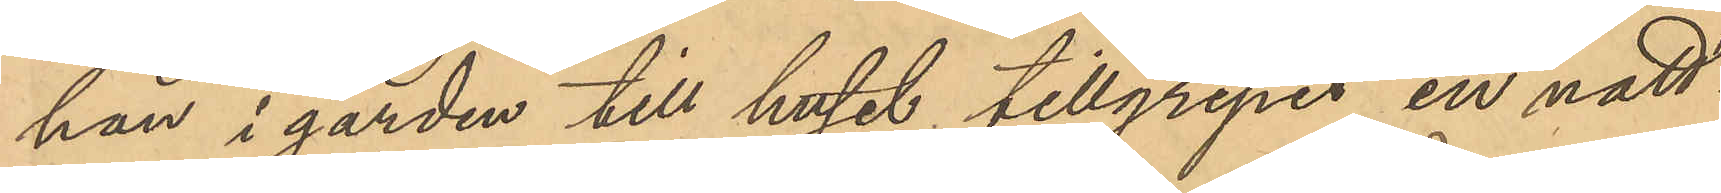han i gården till huset tillgripit en natt¬
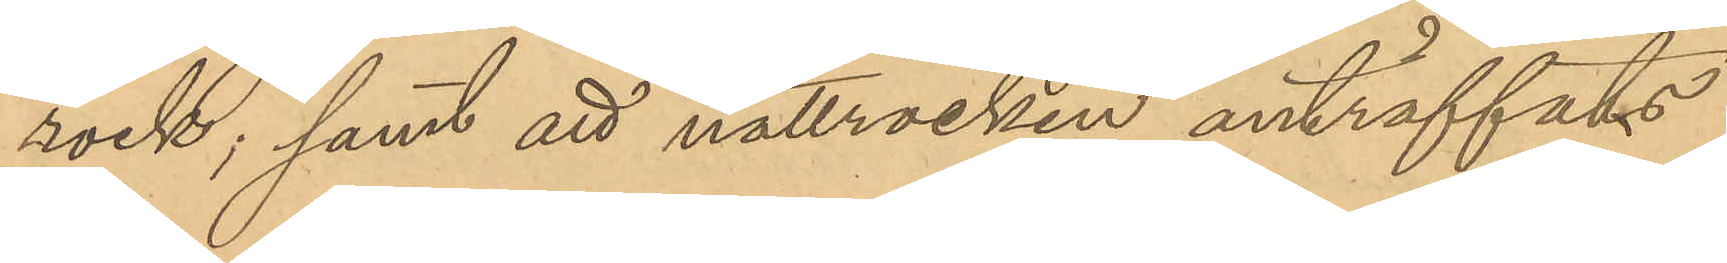rock; samt att nattrocken anträffats
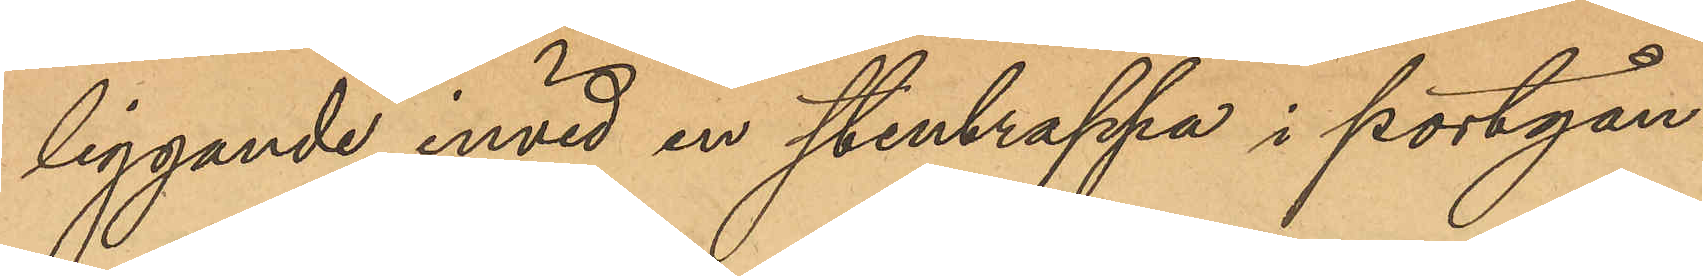liggande invid en stentrappa i portgån¬
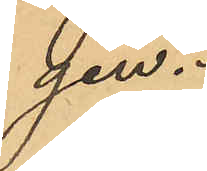gen.
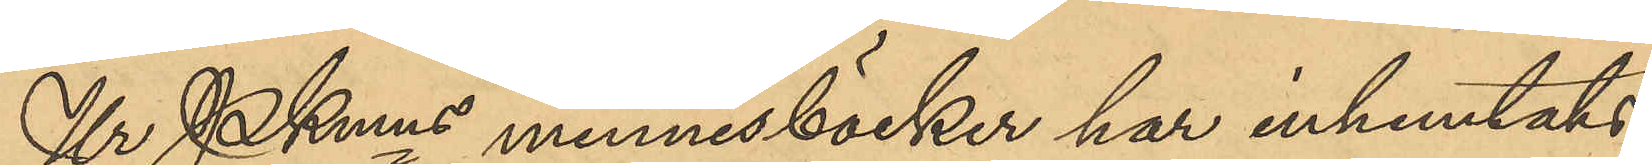Ur PKmns minnesböcker har inhemtats
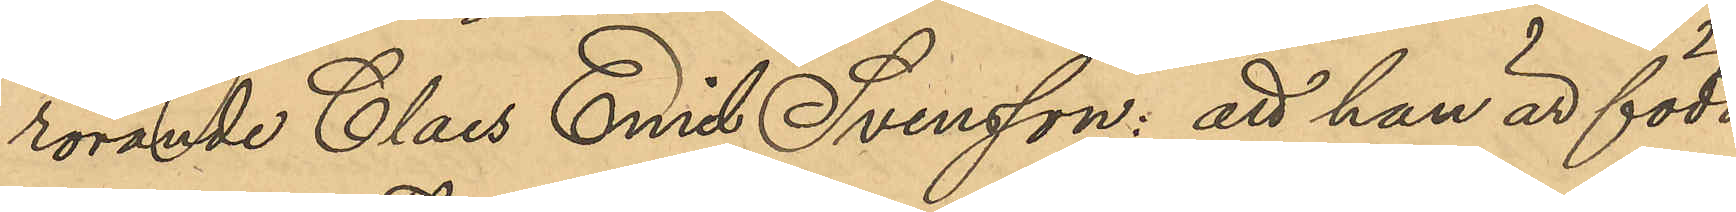rörande Claes Emil Svensson: att han är född
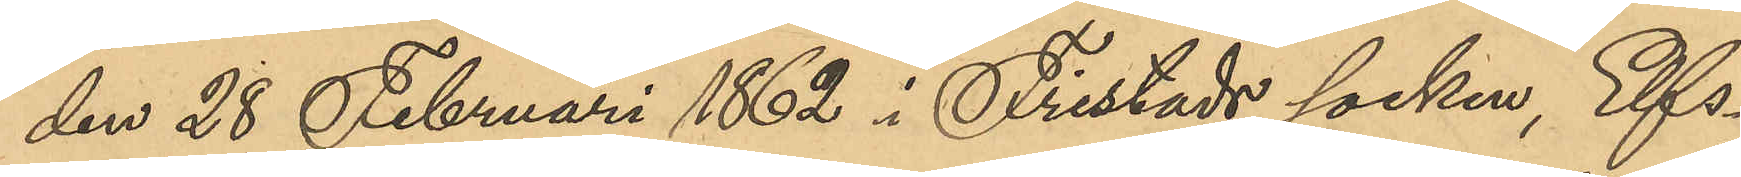den 28 Februari 1862 i Fristads socken, Elfs¬
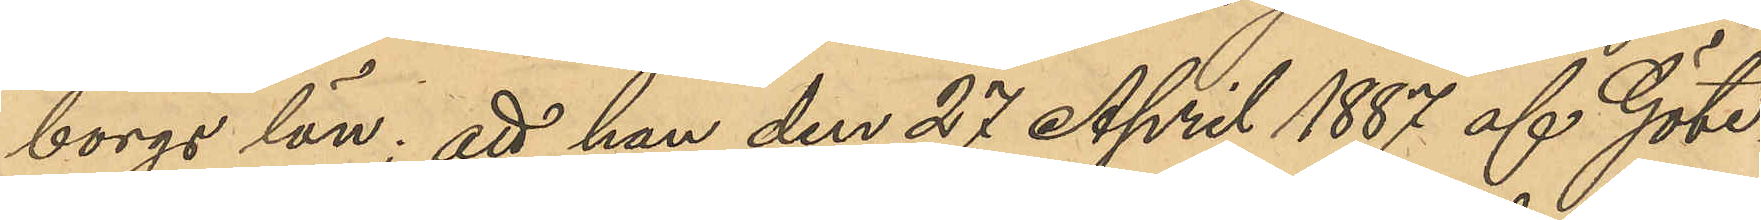borgs län; att han den 27 April 1887 af Göte¬
